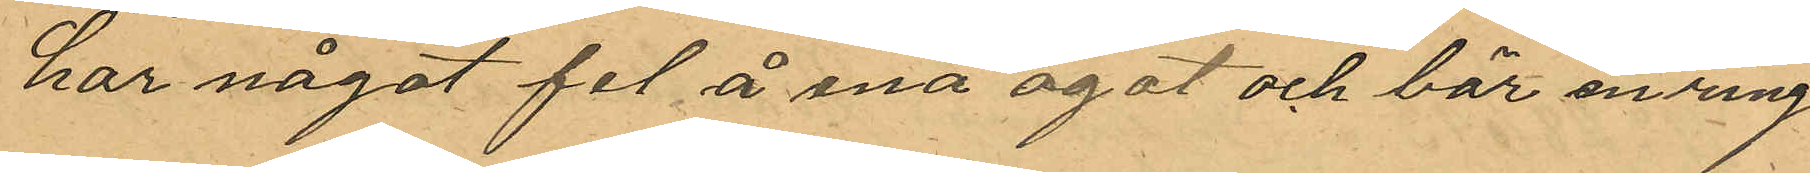har något fel å ena ögat och bär en ring
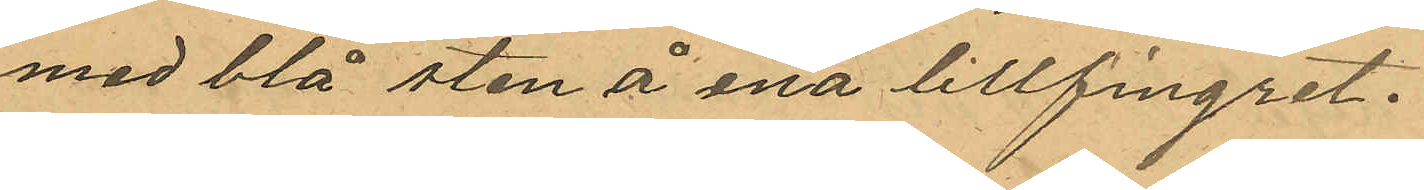med blå sten å ena lillfingret.
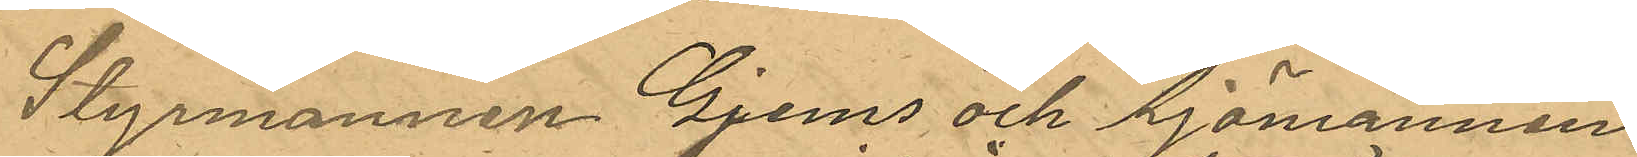Styrmannen Gjems och Sjömannen 
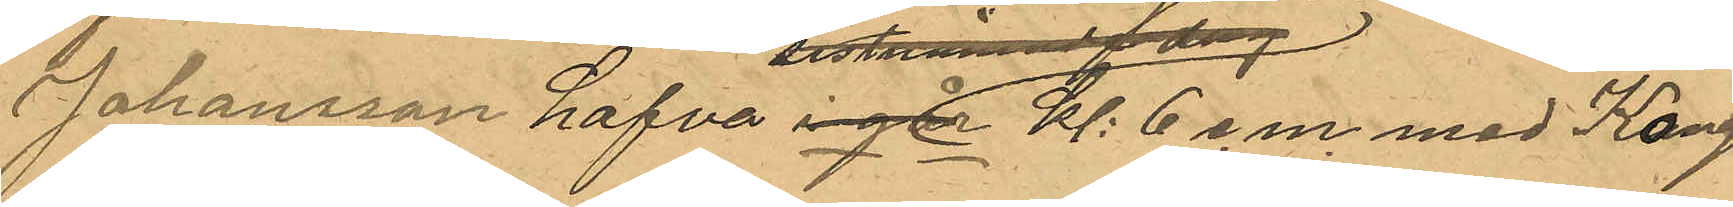Johansson hafva igår   Kl 6 e.m. med Kong
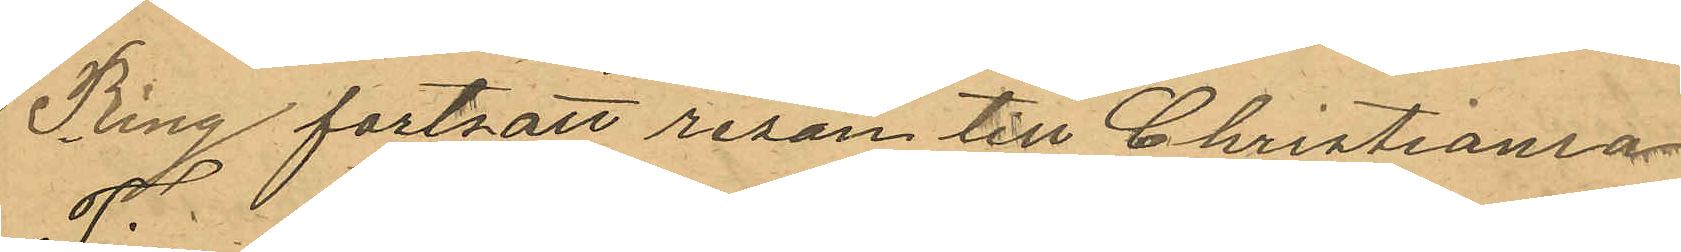Ring fortsatt resan till Christiania
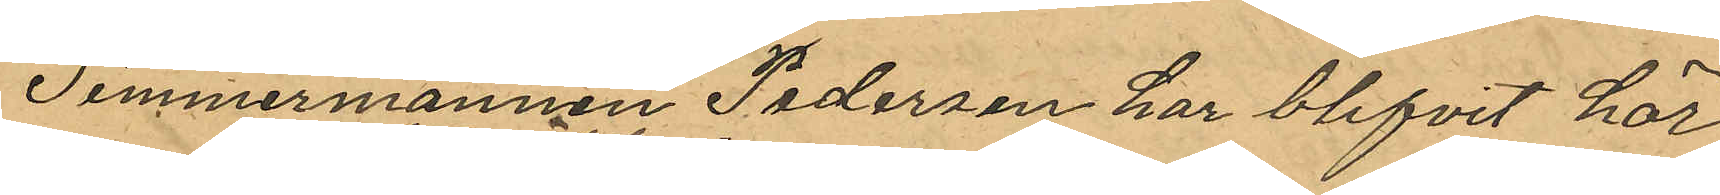Timmermannen Pedersen har blifvit här
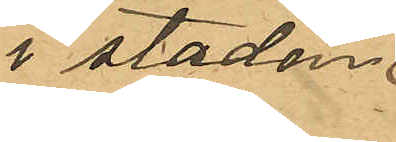i staden 
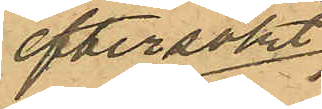eftersökt 
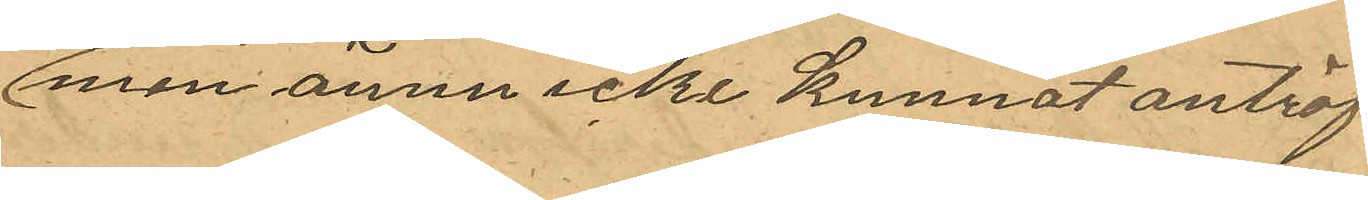men ännu icke kunnat anträf¬
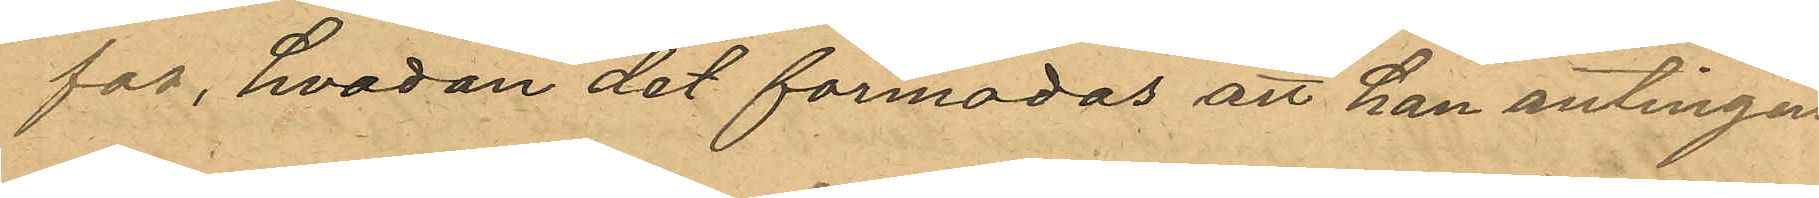fas, hvadan det förmodas att han antingen
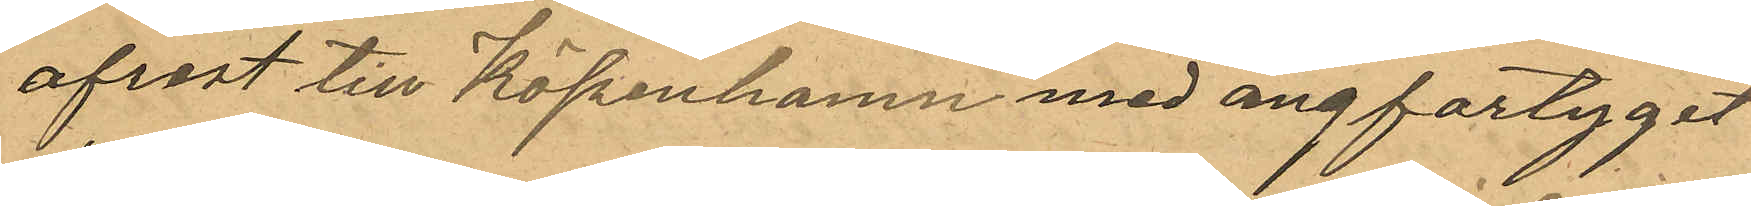afrest till Köpenhamn med ångfartyget
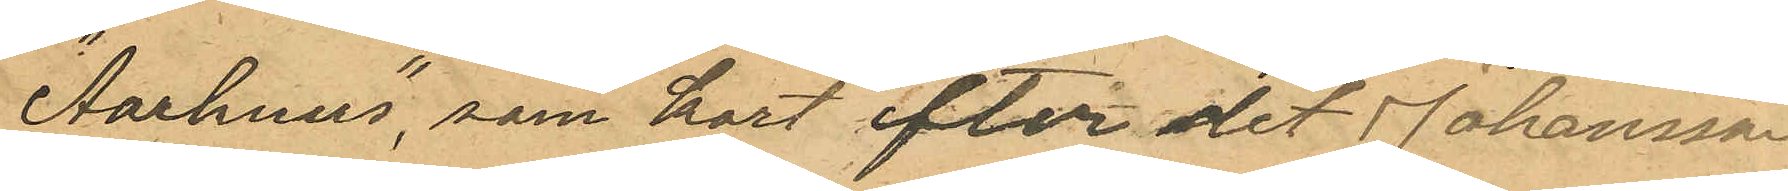"Aarhus", som kort efter det Johansen
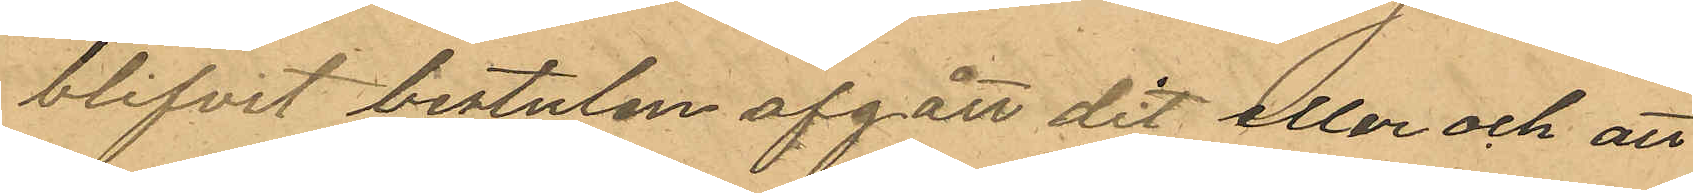blifvit bestulen afgått dit eller och att
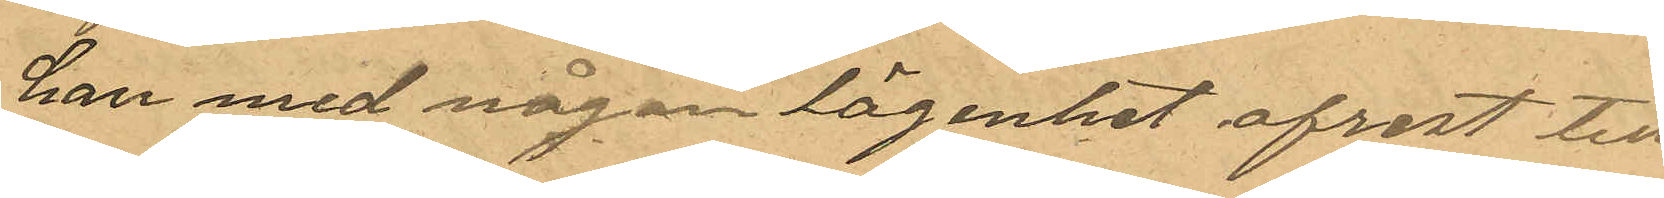han med någon lägenhet afrest till
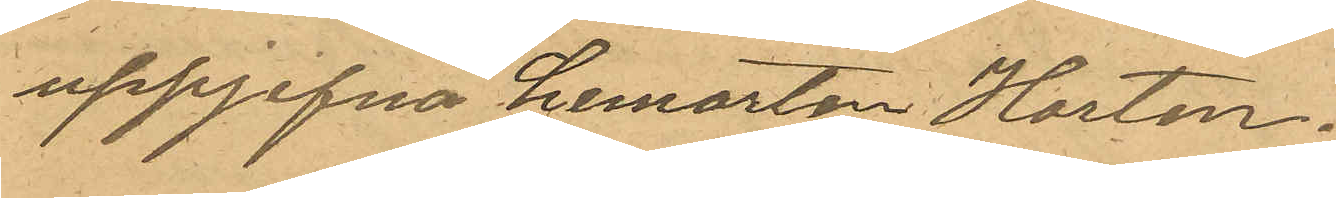uppgifna hemorten Horten.
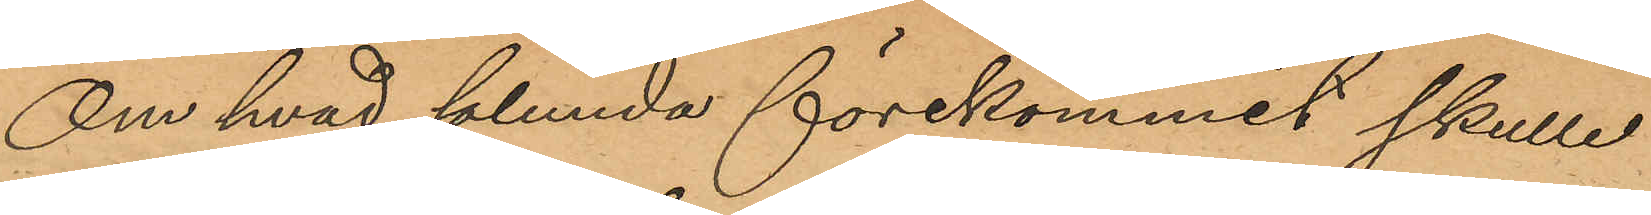Om hvad sålunda förekommit skulle
